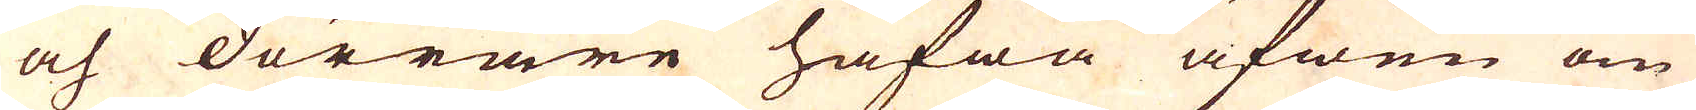och dörrare hafwa äfwen om
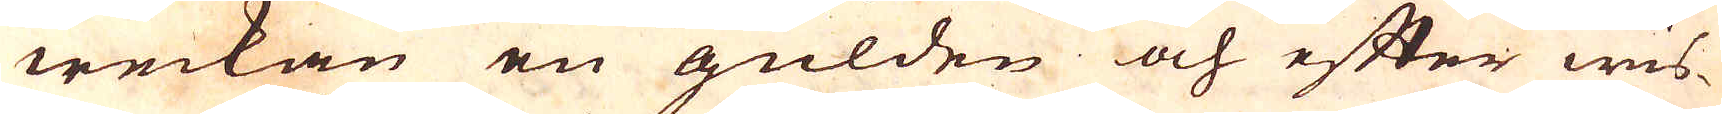weckan en gülden och efter wis-
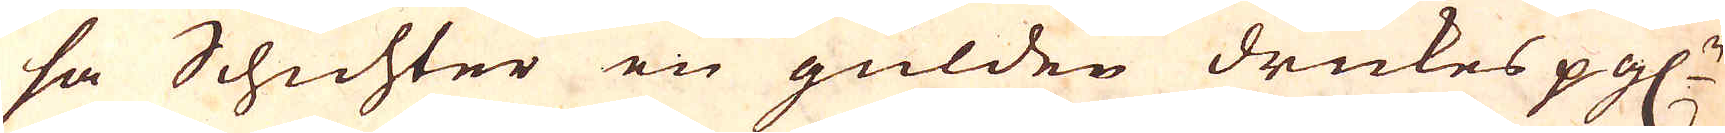sa Schichter en gülden drickes pgl:r
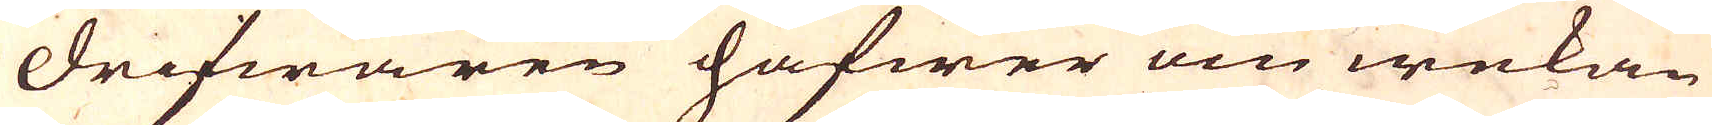Drifwaren hafwer om wekan
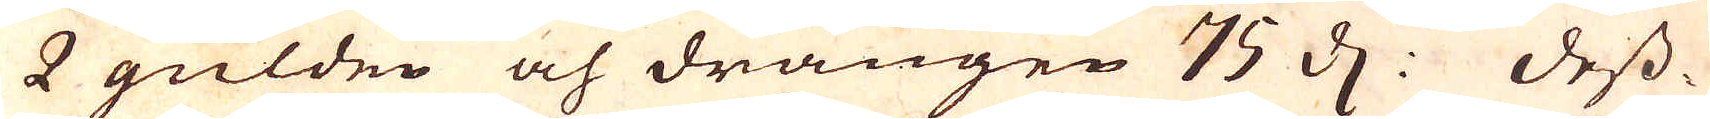2 gülden och drängen 75 d. Dess-
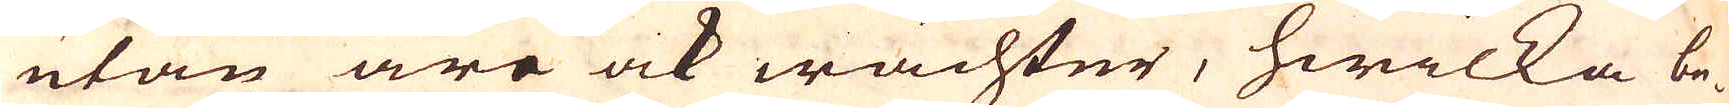utan äre ock wächter, hwilka be-
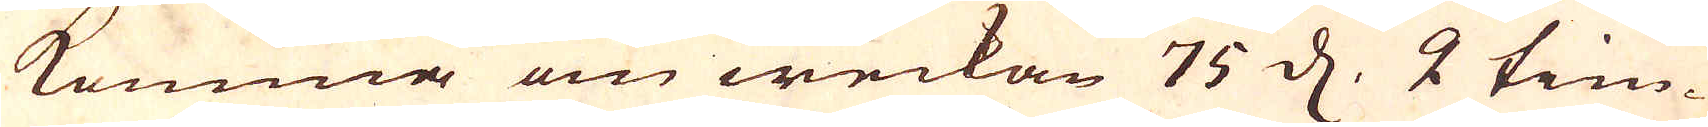komma om weckan 75 d, 2 tim-
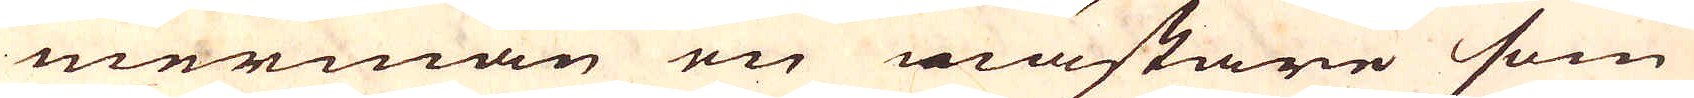mermän en mästare som
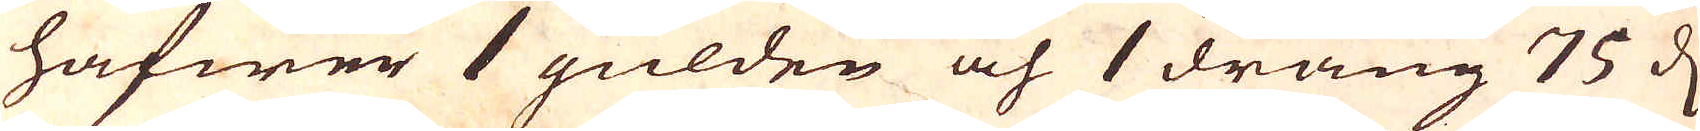hafwer 1 gülden och 1 dräng 75 d.
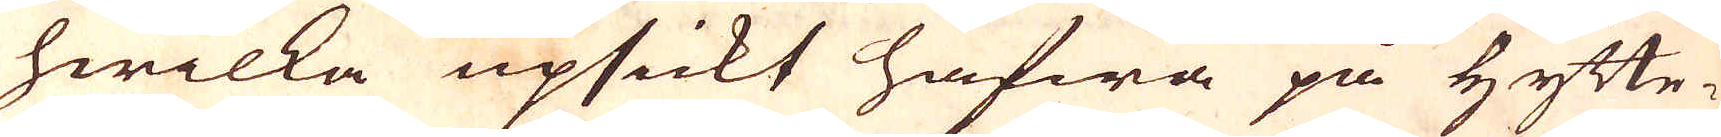hwilka upsickt hafwa på Hytte-
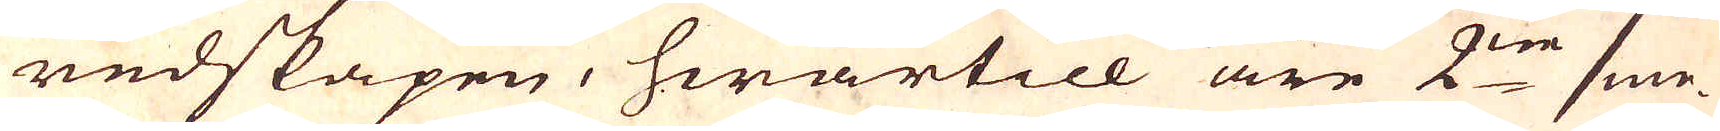redskapen, hwartill äre 2:ne sme-
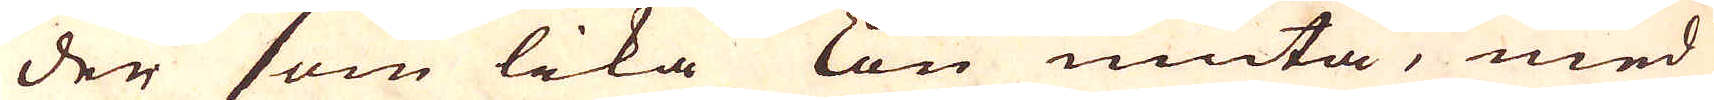der som lika lön niuta, med
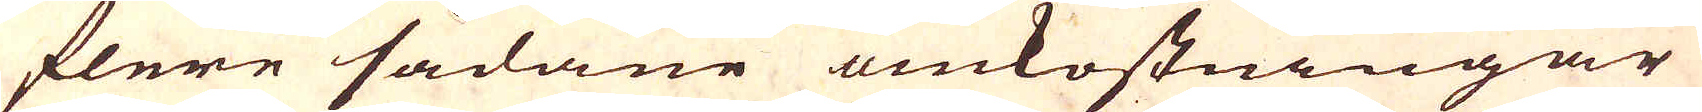flere sådane omkostningar
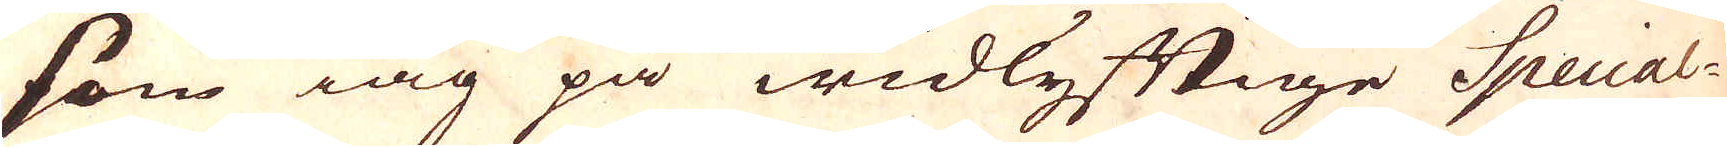som iag på widlyftige Special-
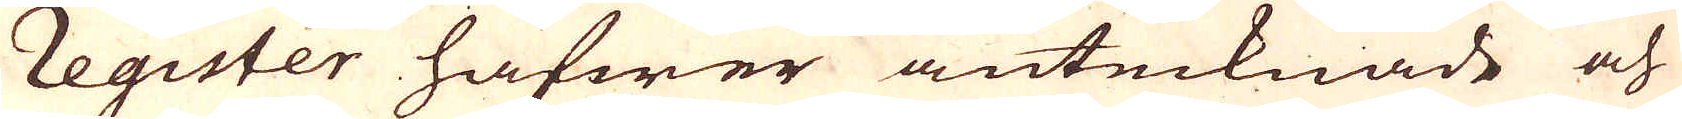register hafwer antecknade och
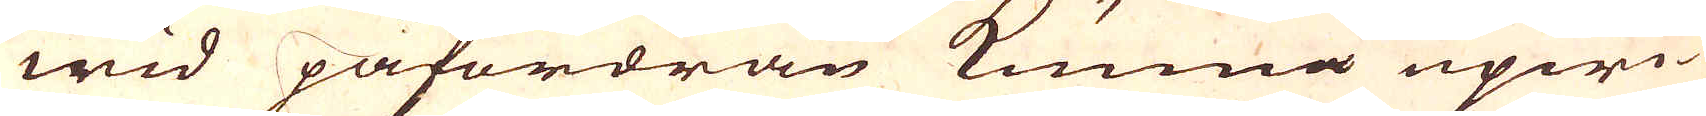wid påfordran kunna upwi-
